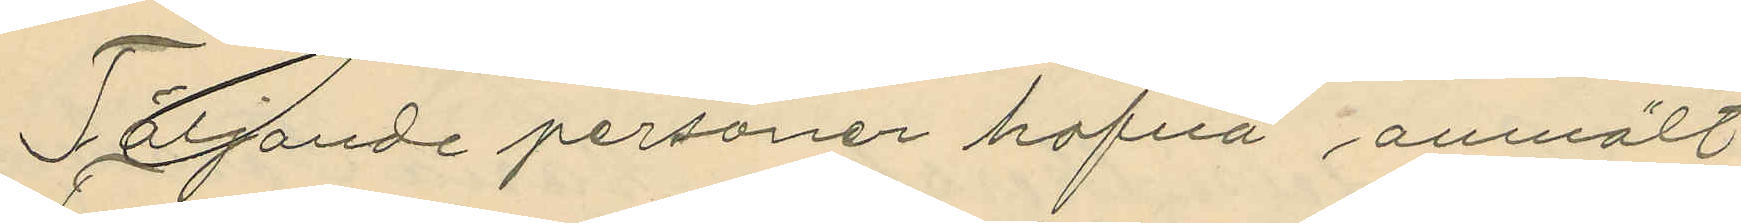Följande personer hafva anmält;
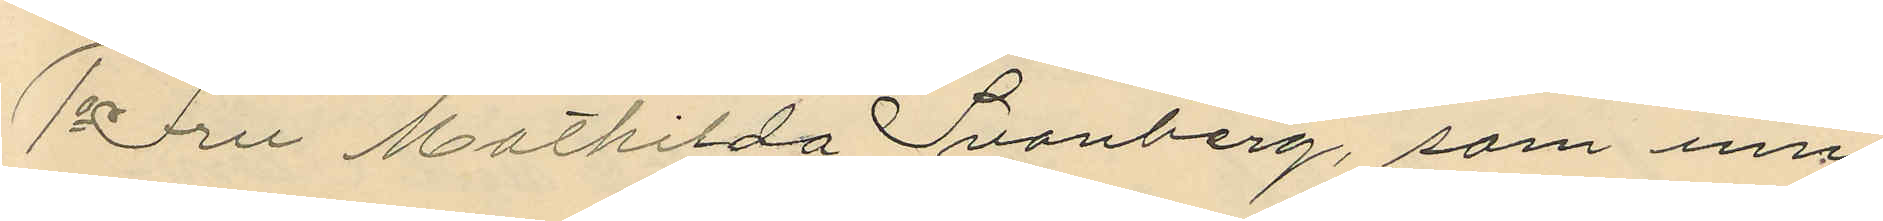1o Fru Mathilda Svanberg, som inne¬
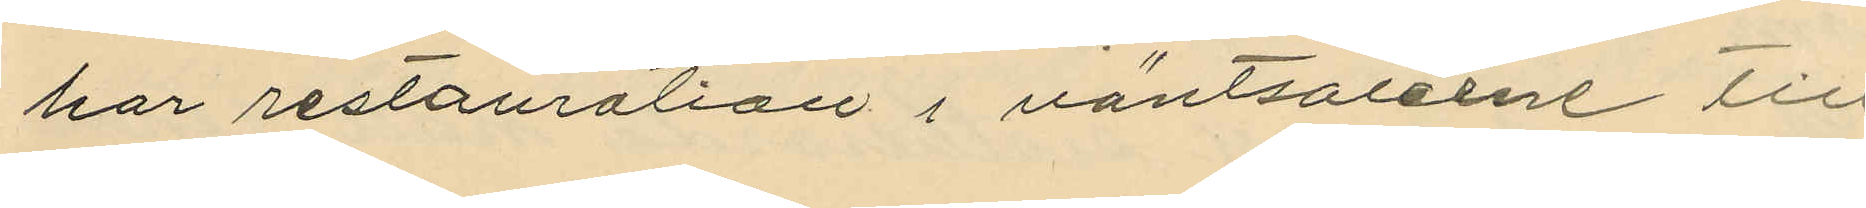har restauration i väntsalarne till
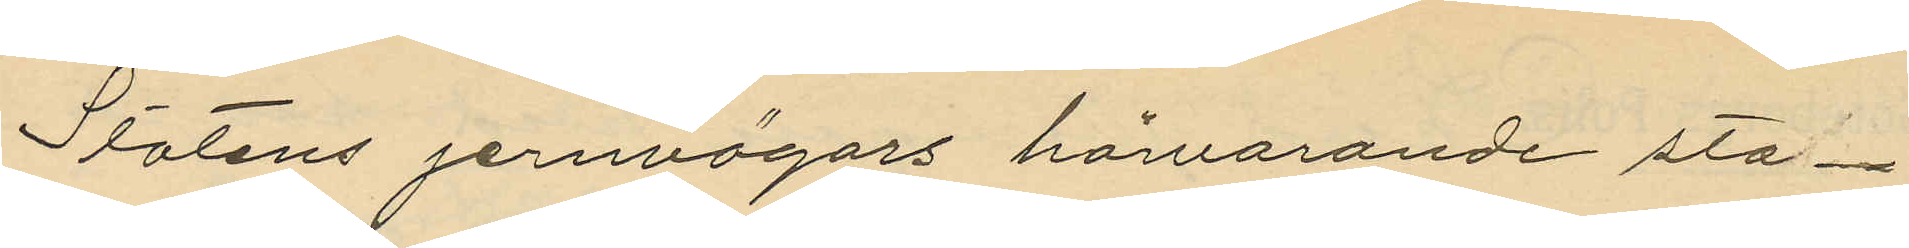Statens jernvägars härvarande sta¬
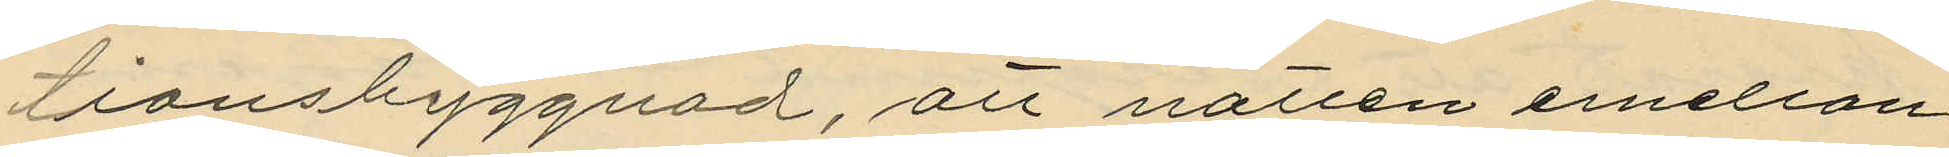tionsbyggnad, att natten emellan
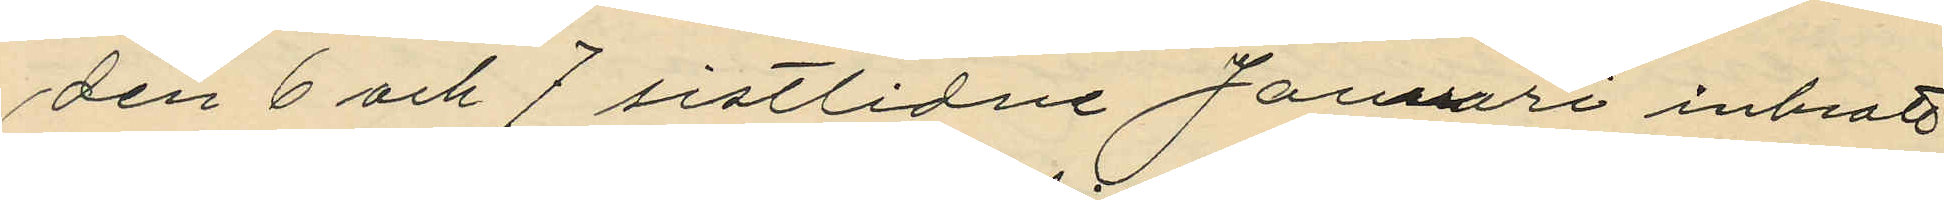den 6 och 7 sistlidne Januari inbrott
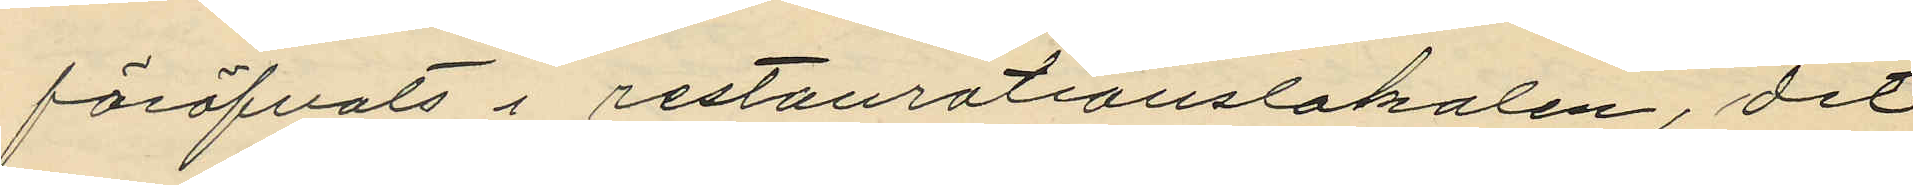föröfvats i restaurationslokalen, dit
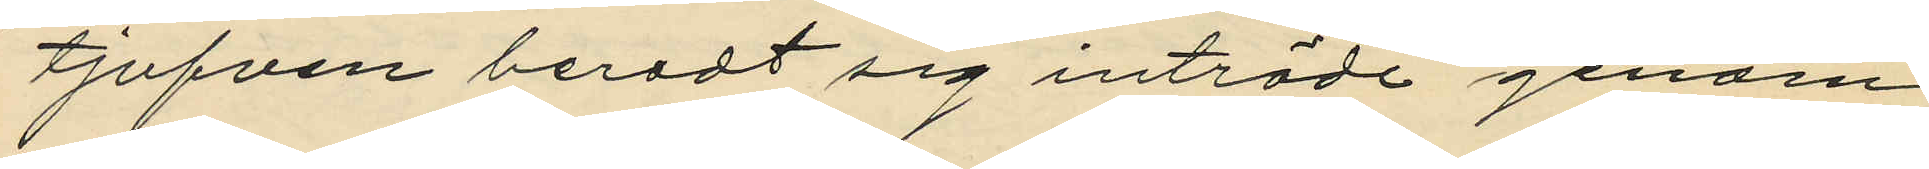tjufven beredt sig inträde genom
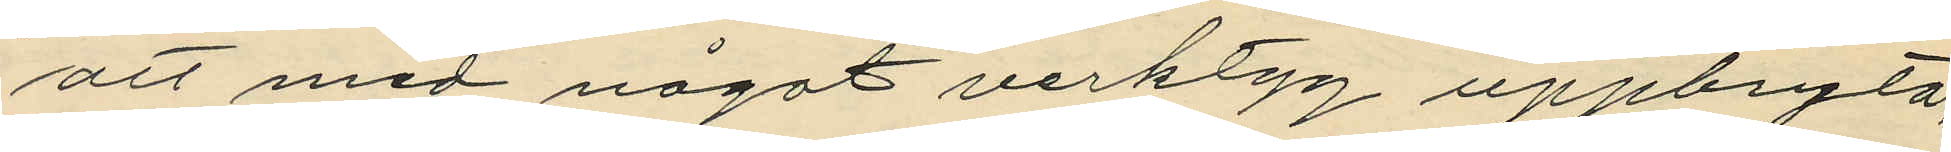att med något verktyg uppbryta,
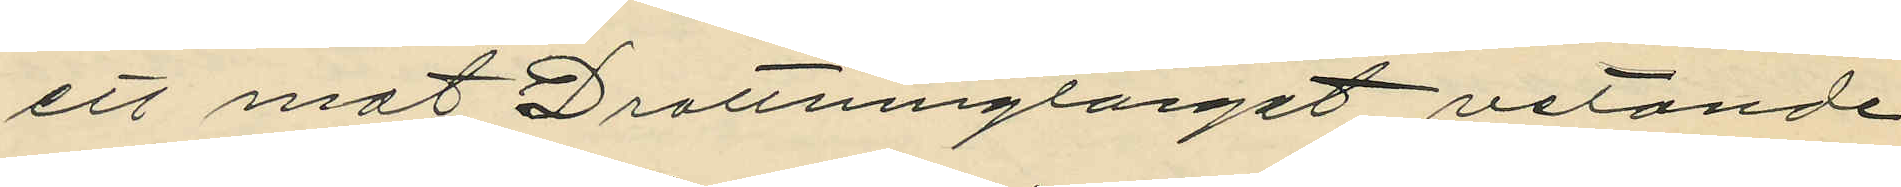ett mot Drottningtorget vetande
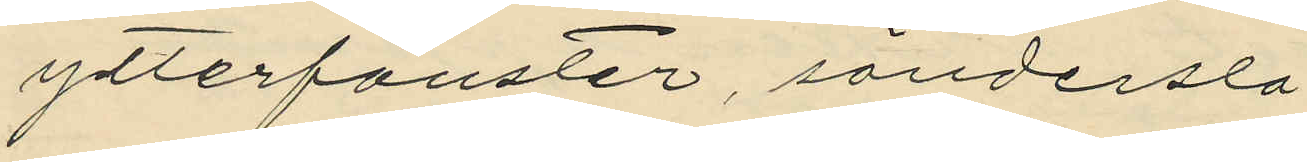ytterfönster, sönderslå 
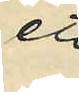ett
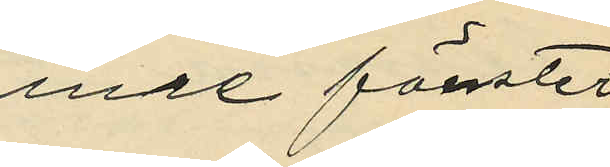inre fönster
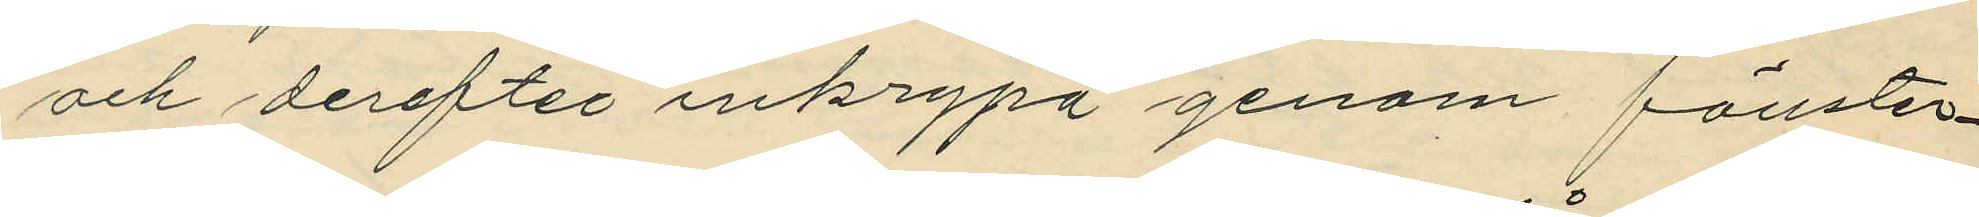och derefter inkrypa genom fönster¬
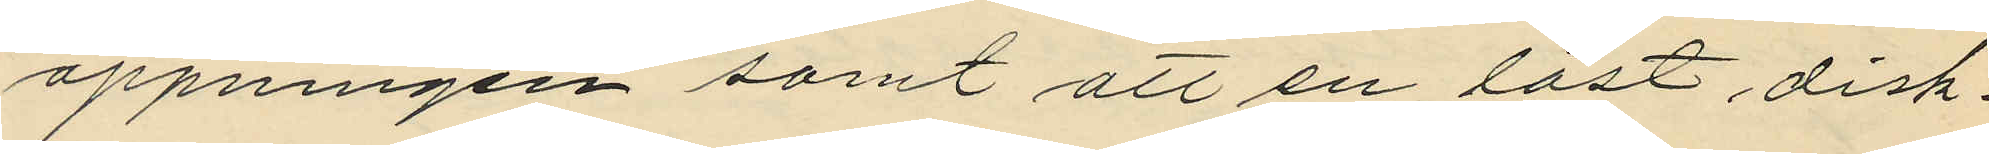öppningen samt att en låst disk¬
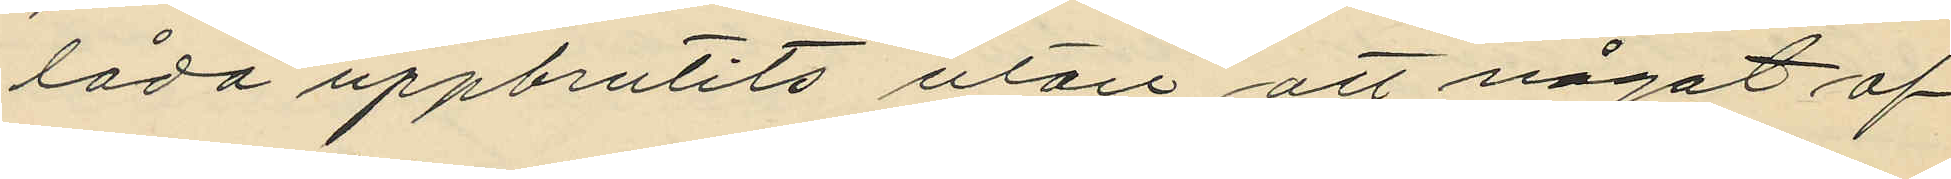låda uppbrutits utan att något af
